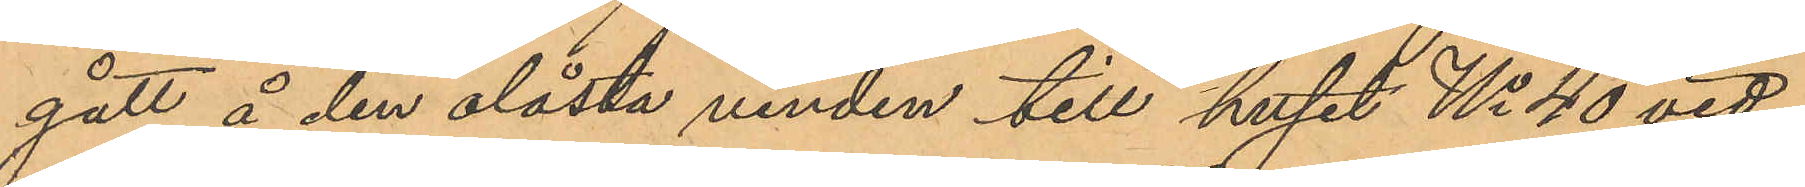gått å den olåsta vinden till huset No 40 vid
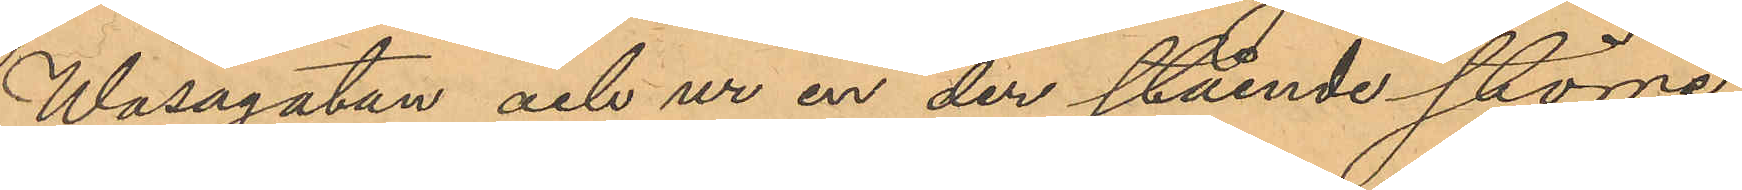Wasagatan och ur en der stående större
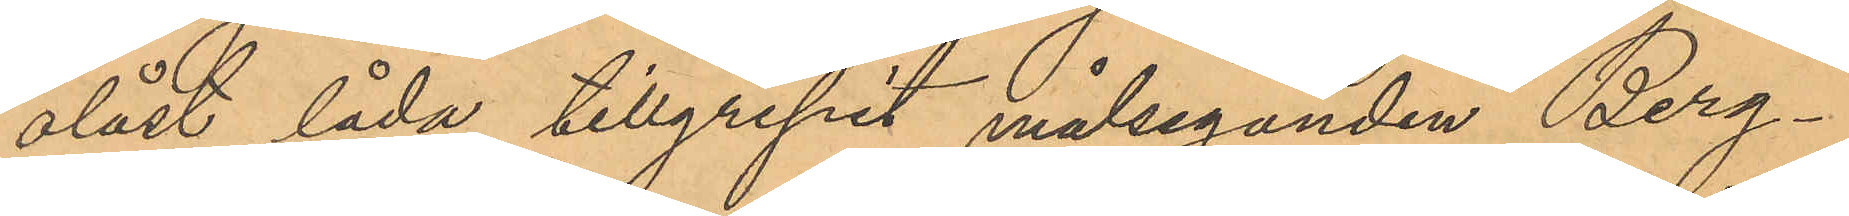olåst låda tillgripit målseganden Berg¬
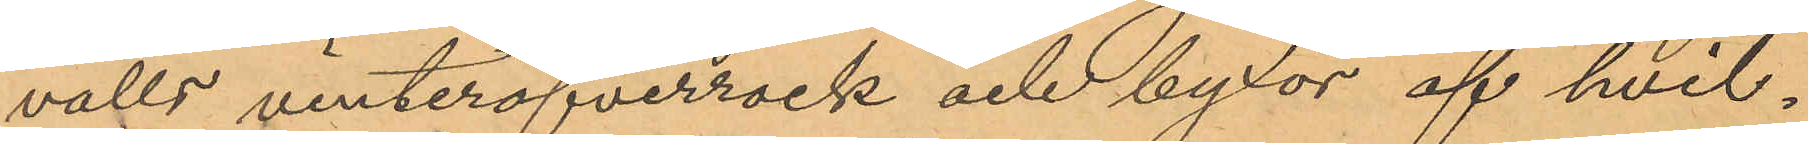valls vinteröfverrock och byxor af hvil¬
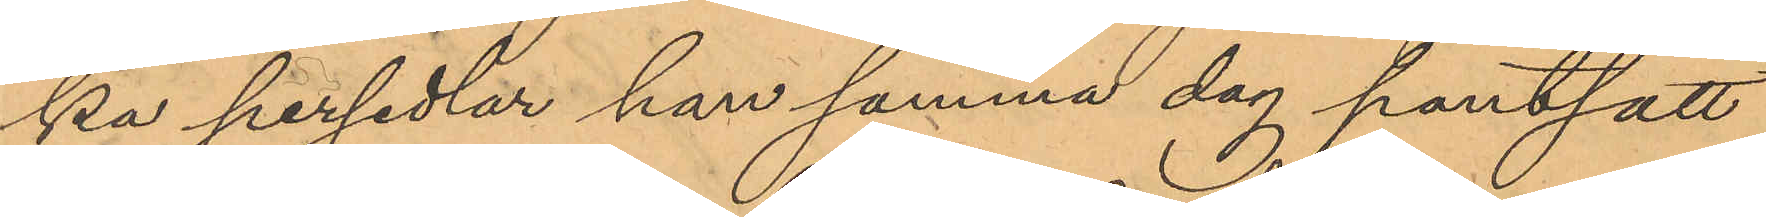ka persedlar han samma dag pantsatt
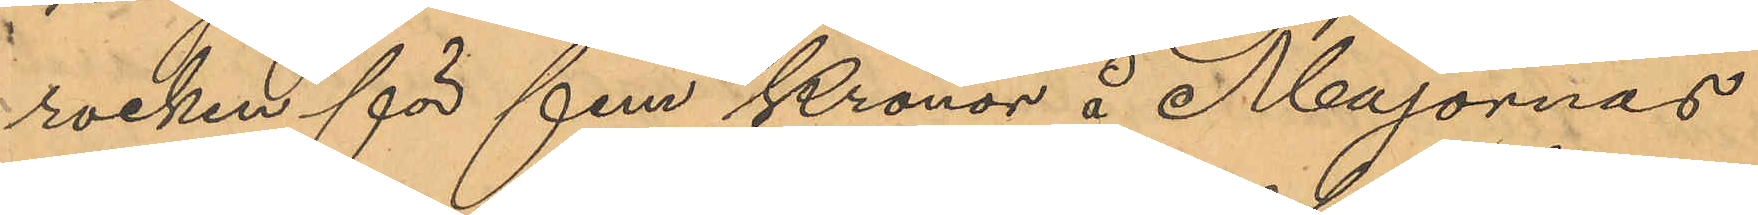rocken för fem Kronor å Majornas
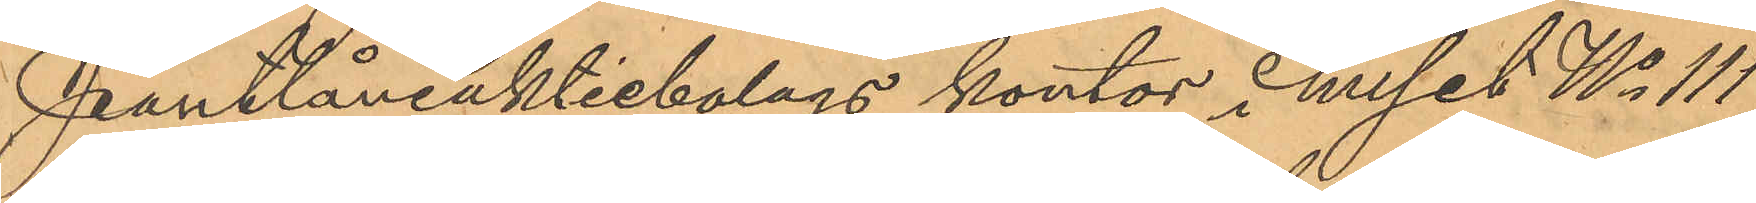Pantlåneaktiebolags kontor i huset No 111
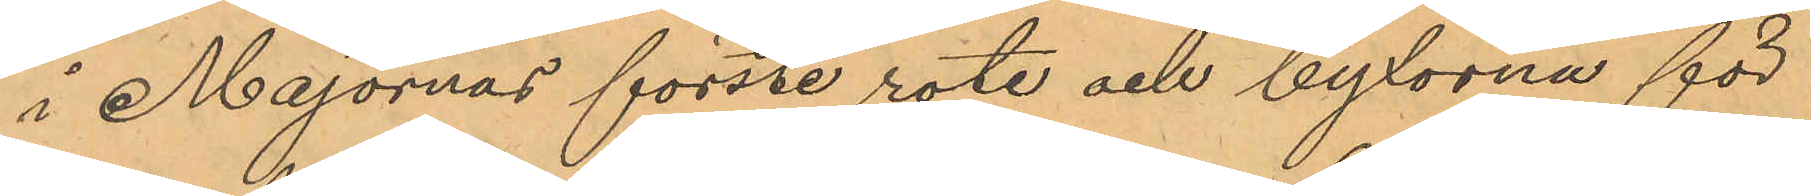i Majornas försre rote och byxorna för
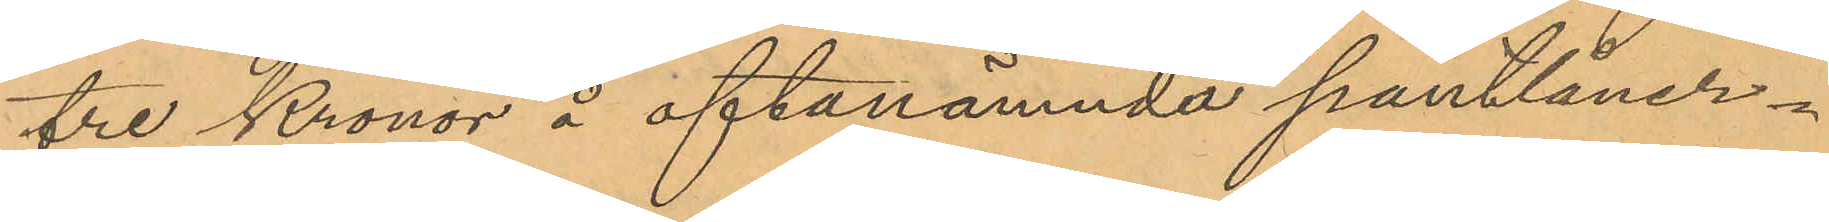tre Kronor å oftanämnda pantlåner¬
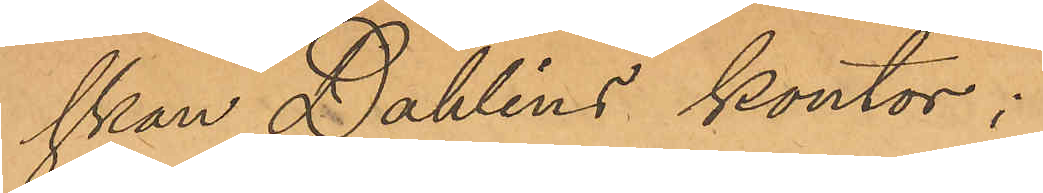skan Dahlins kontor;
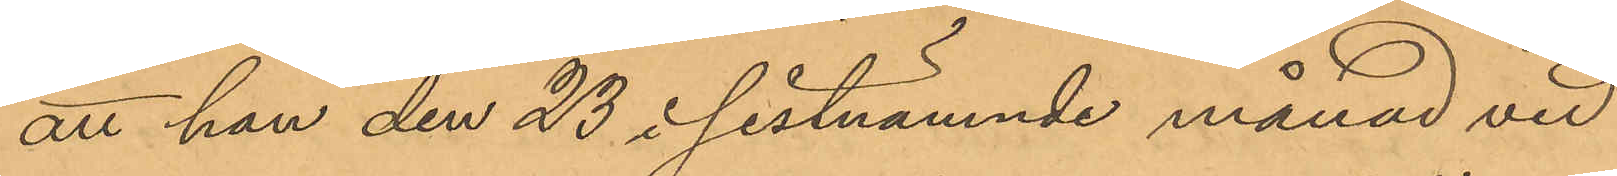att han den 23 i sistnämnde månad vid
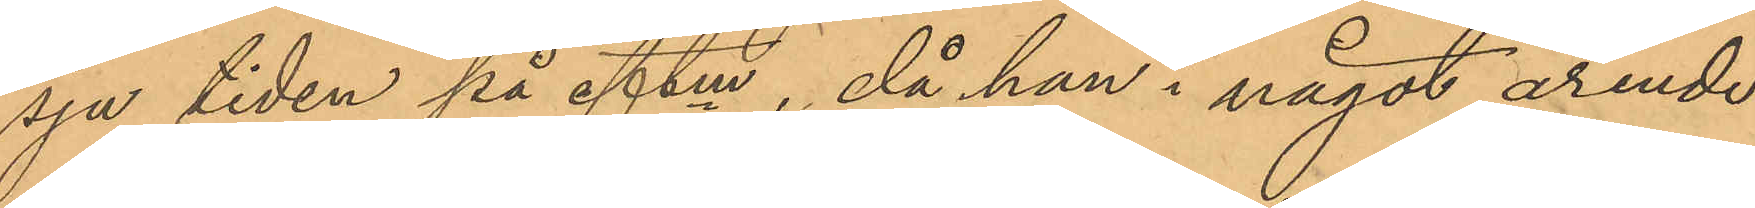sju tiden på eftm, då han i något ärende
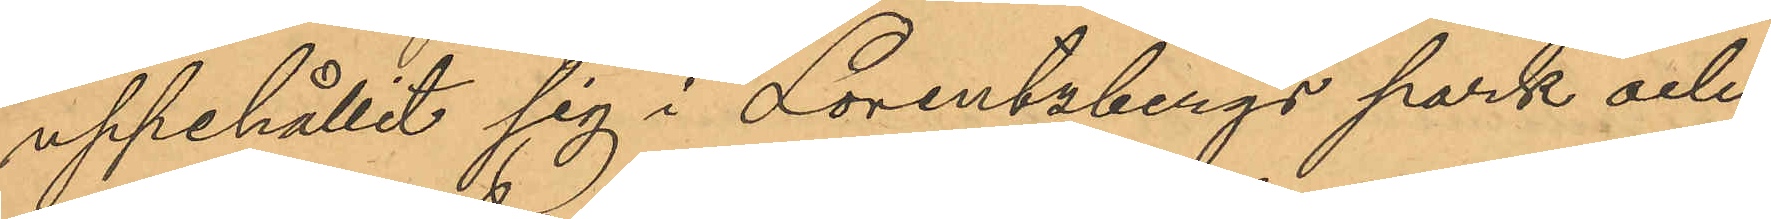uppehållit sig i Lorentzbergs park och
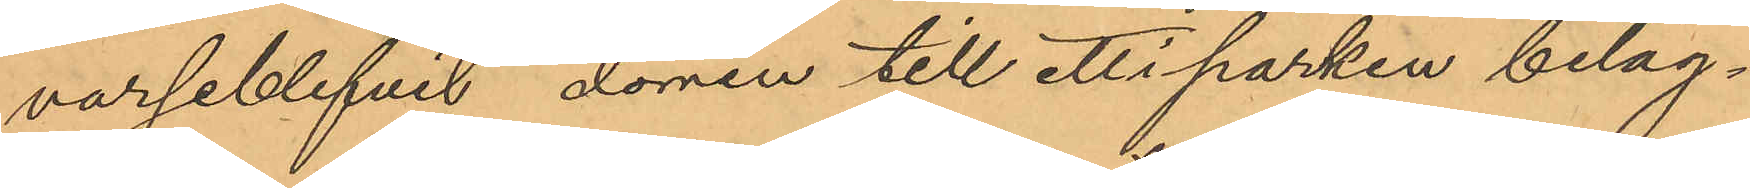varseblifvit dörren till ett i parken beläg¬
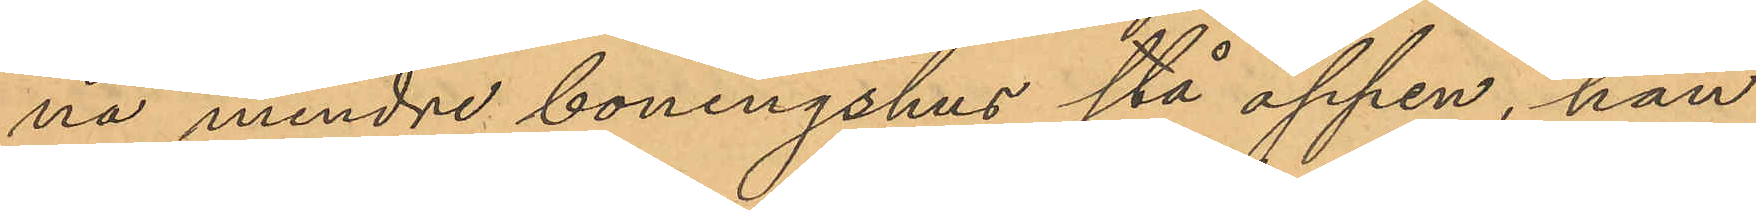na mindre boningshus stå öppen, han
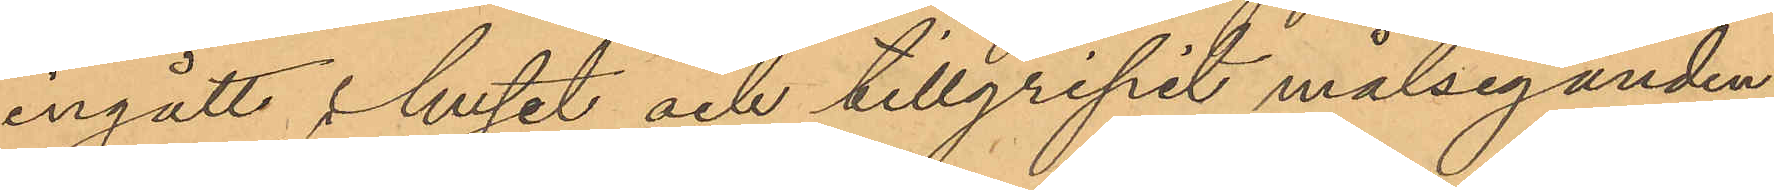ingått i huset och tillgripit målseganden
